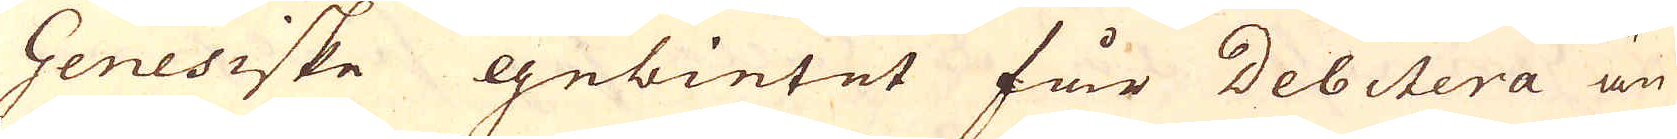Genesiske gebietet får Debitera än
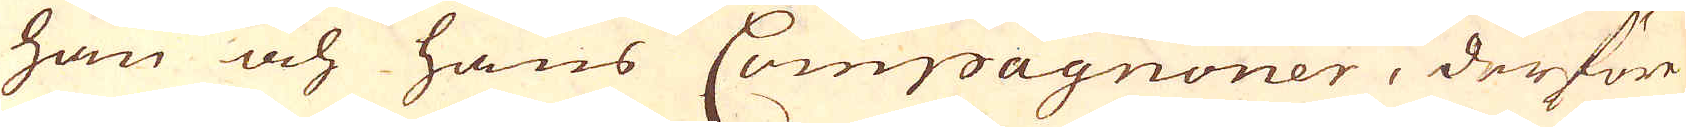han och hans Compagnoner, derföre
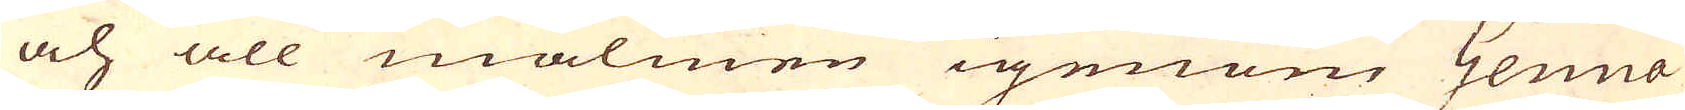och all malmen igenom Genua
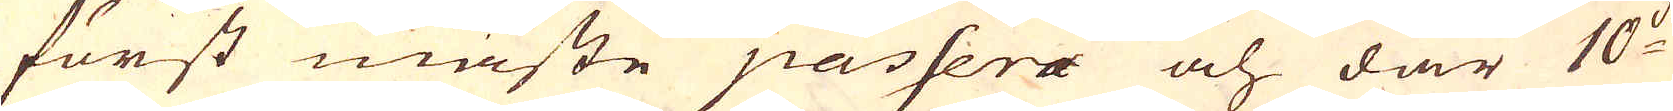först måste passera och där 10:de
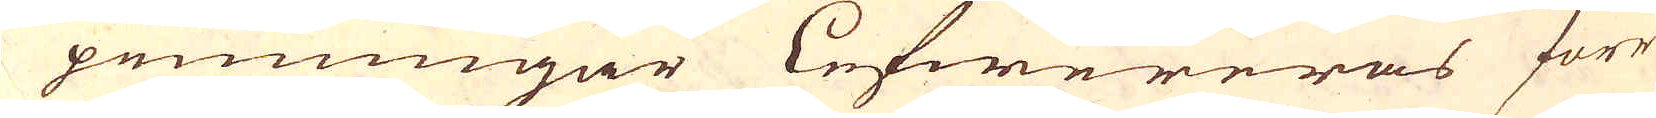penningar Lefwereras förr
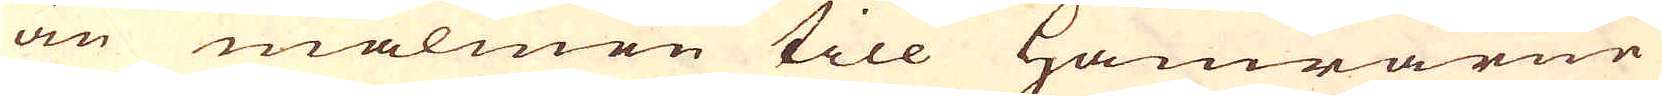än malmen till Hamrarne
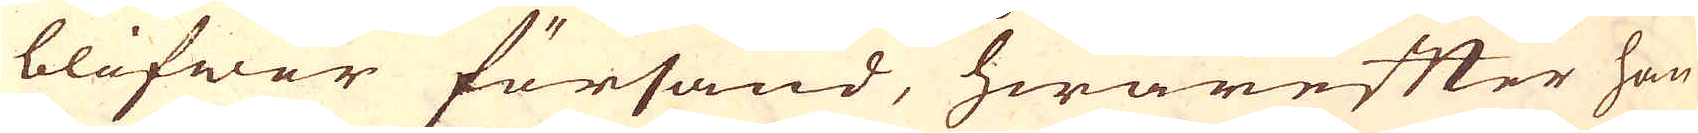blifwer försänd, hwarefter han
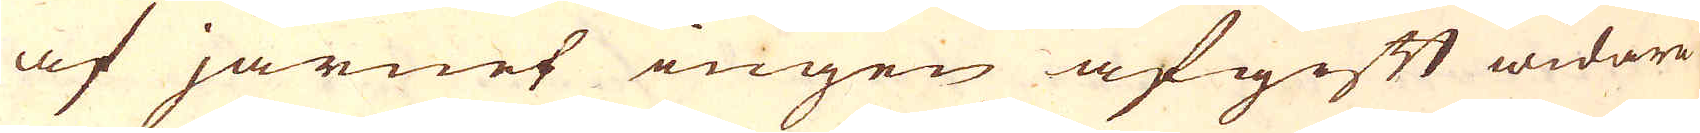af järnet ingen afgift widare
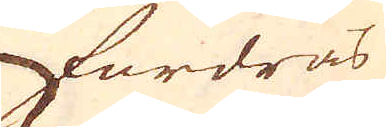fordras
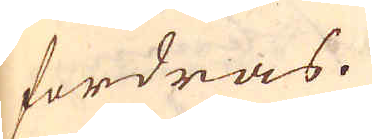fordras.
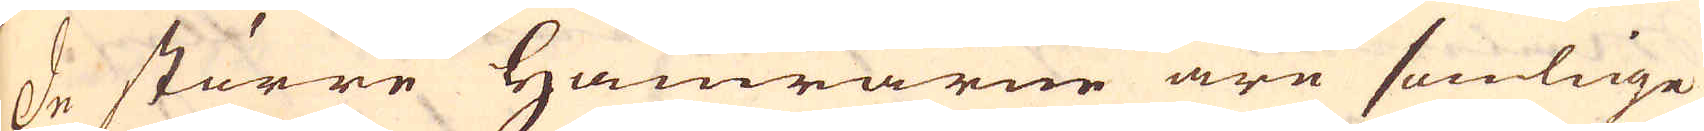De större Hamrarne äre somlige
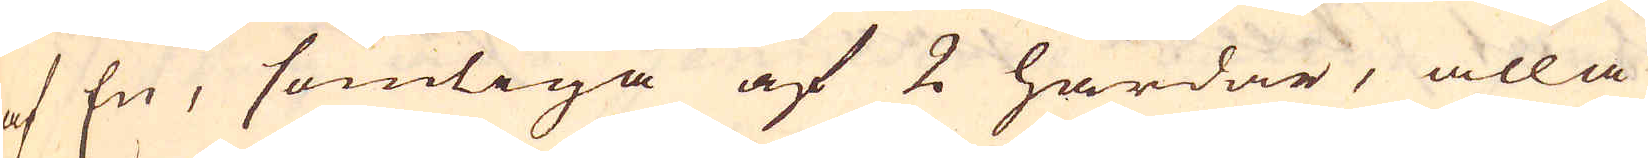af En, somliga af 2 härdar, alla
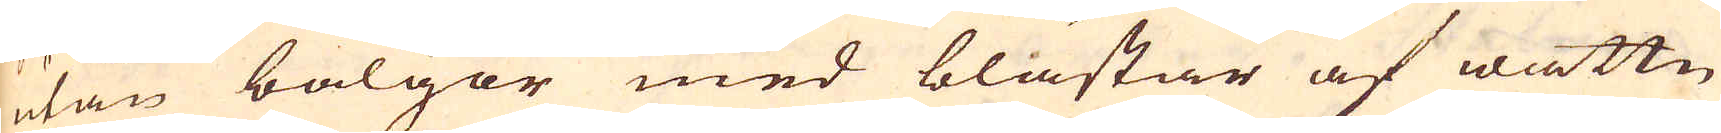utan bälgor med blästar af wattn
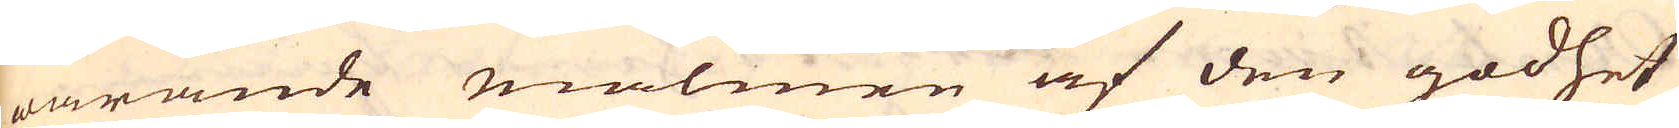warande malmen af den godhet
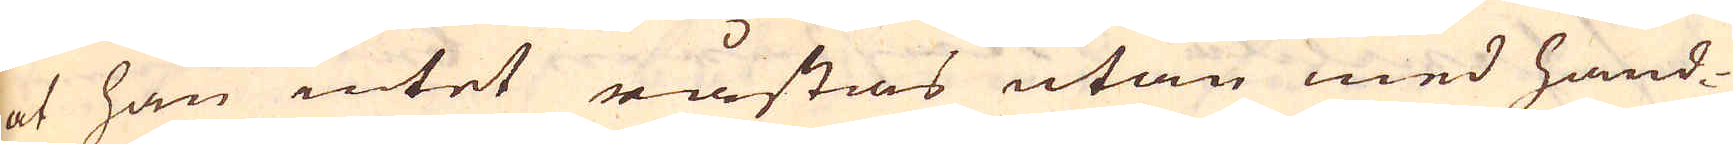at han intet råstas utan med hand-
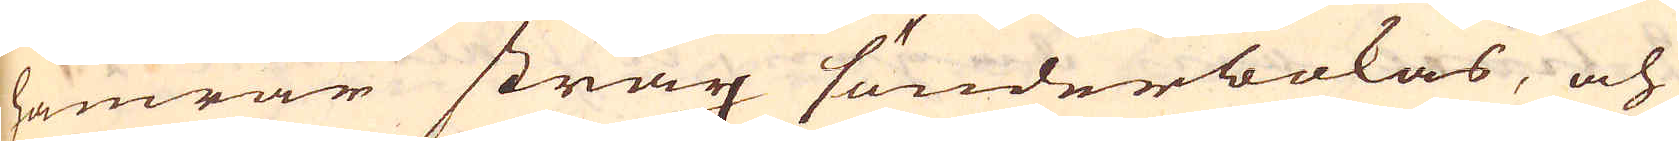hamrar strax sönderbokas, och
